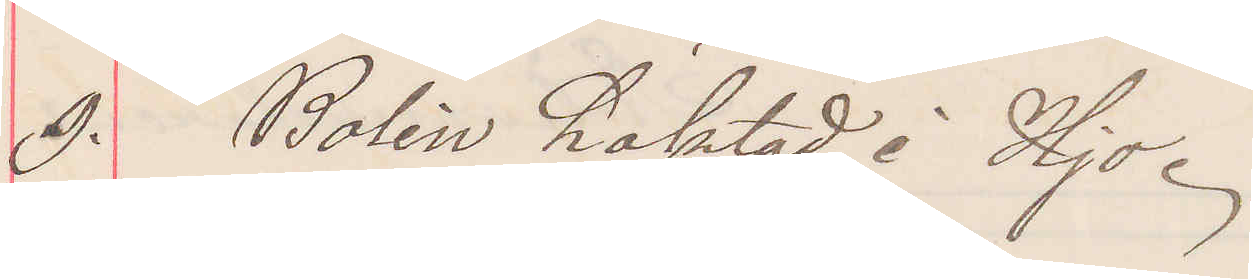9. Bolin häktad i Hjo.
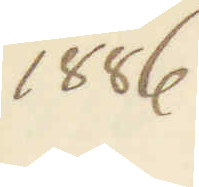1886.
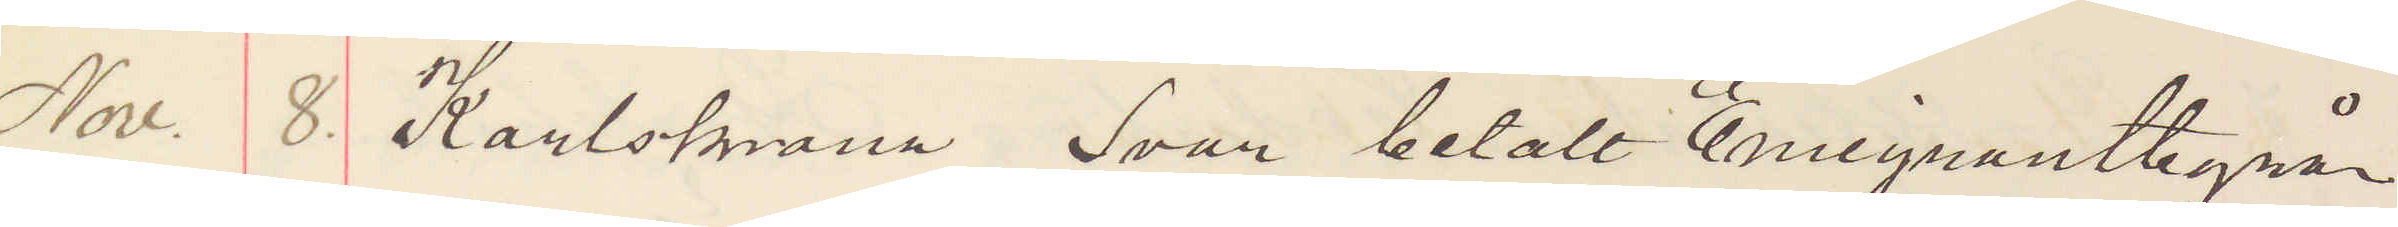Nov. 8. Karlskrona, Svar betalt Emigrantbyrån
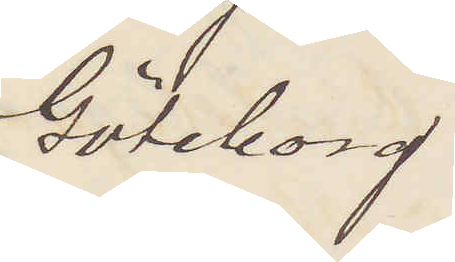Göleborg
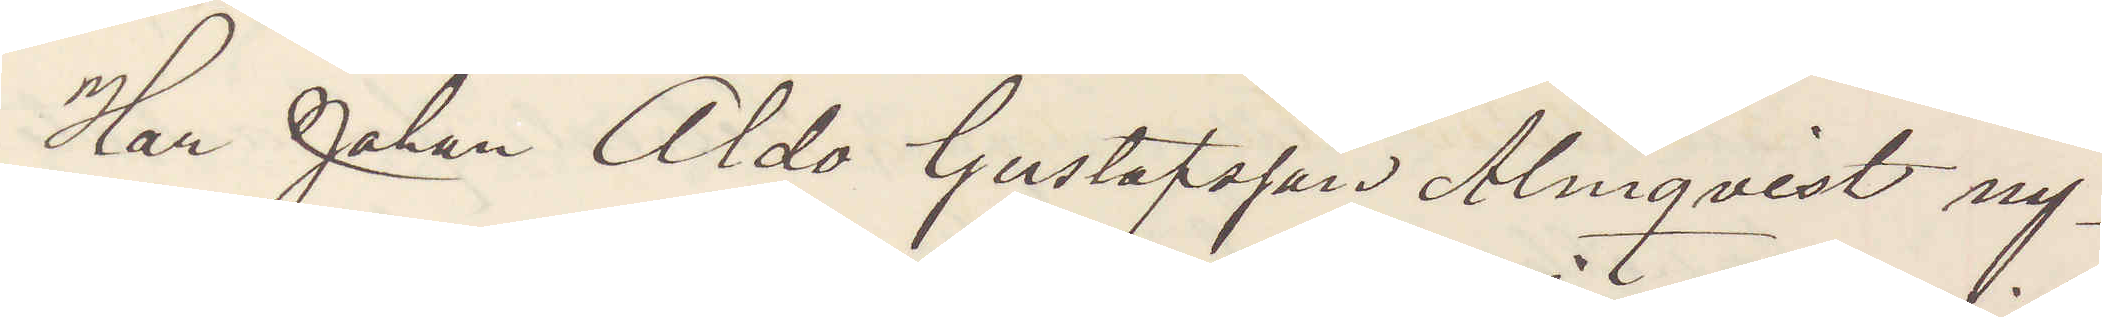Har Johan Aldo Gustafsson Almqvist ny¬
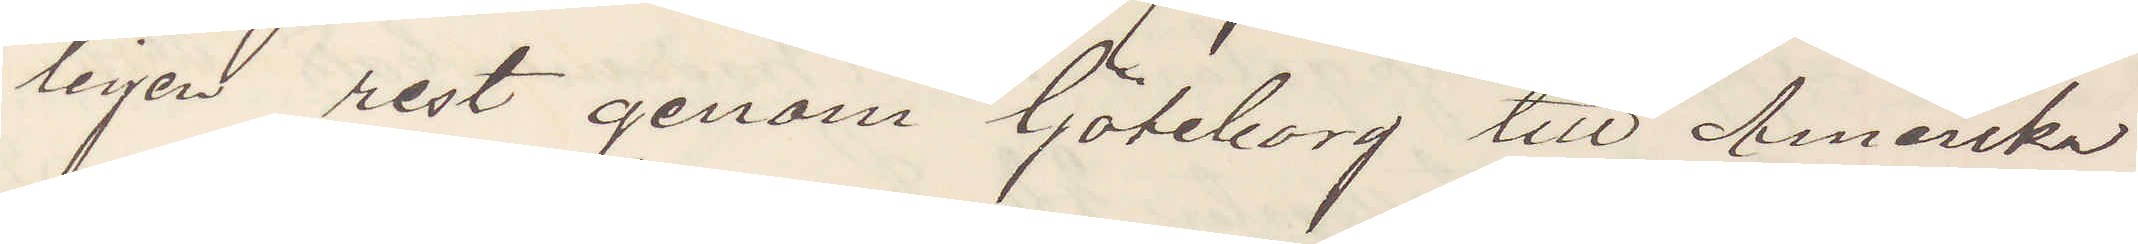ligen rest genom Göteborg till Amerika
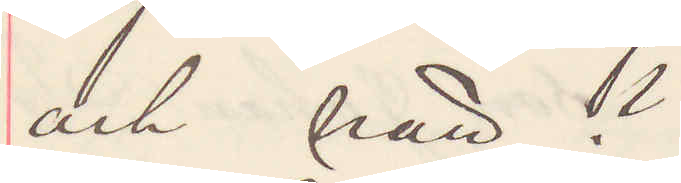och när? 
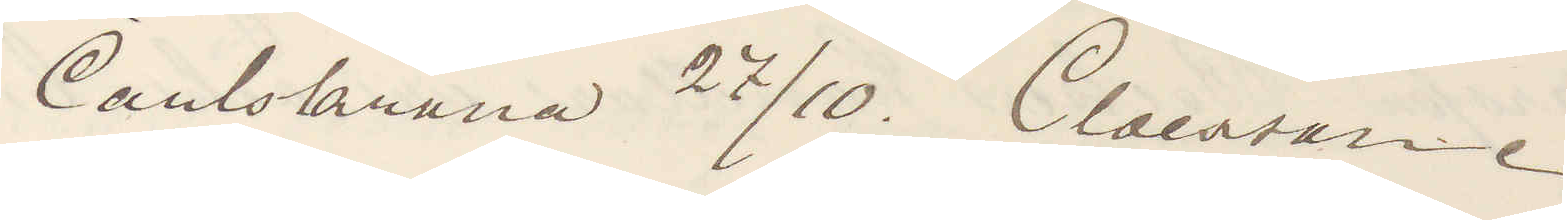Carlskrona 27/10. Claesson.
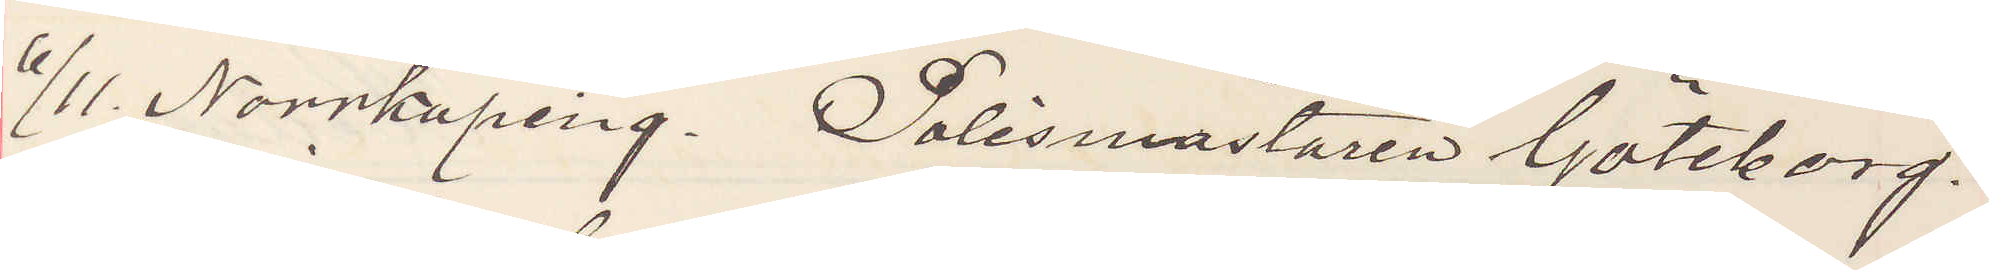6/11. Norrköping. Polismästaren Göteborg.
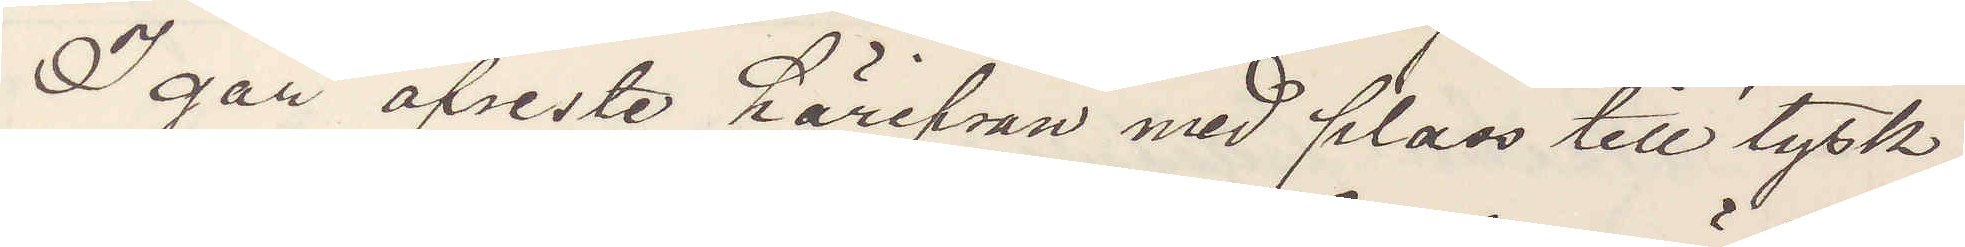I går afreste härifrån med plass till tysk¬
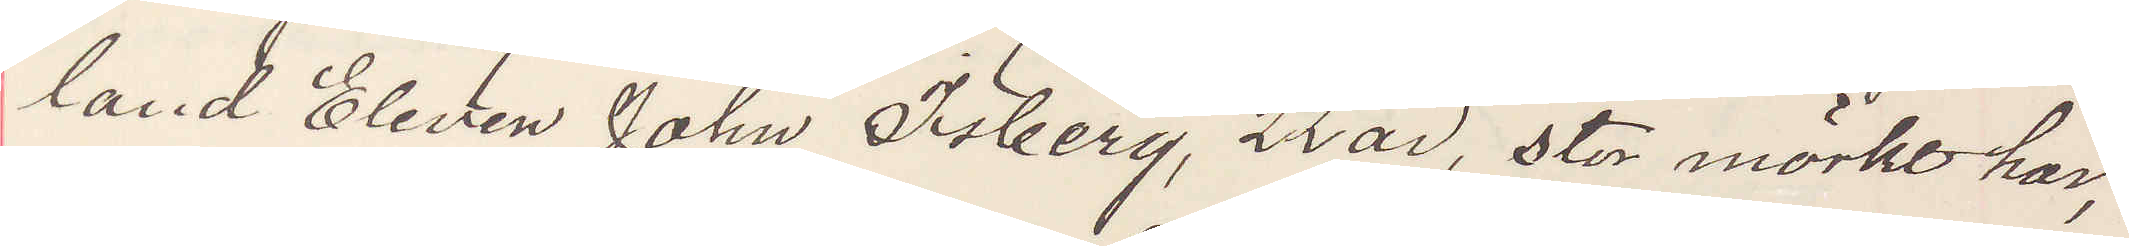land Eleven John Isberg, 22 år, stor mörkt hår,
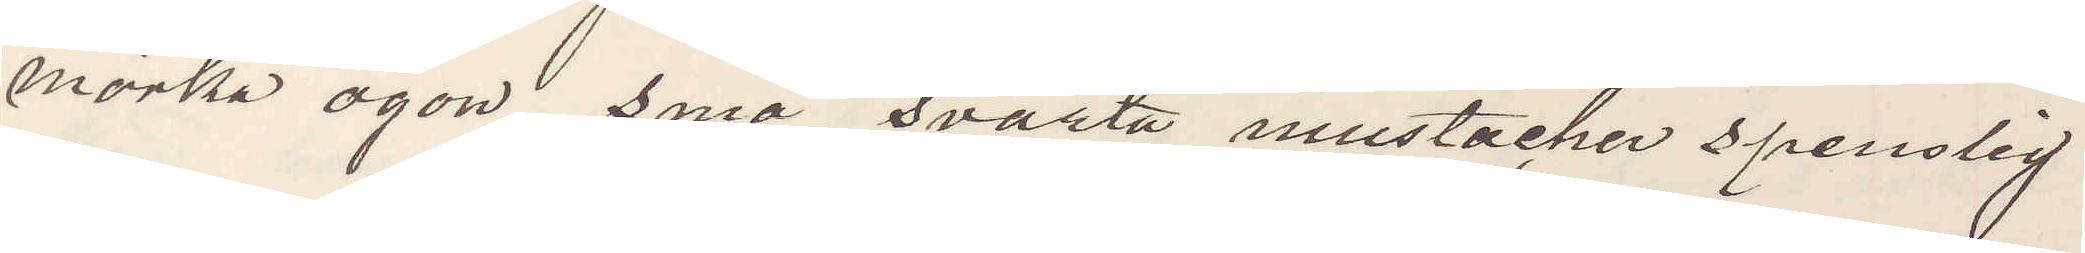mörka ögon små svarta mustacher spenslig
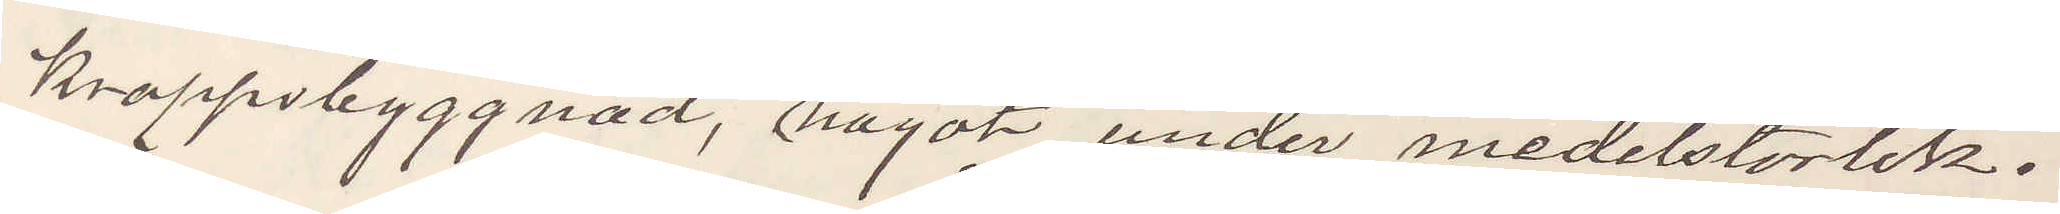kroppsbyggnad, något under medelstorlek.
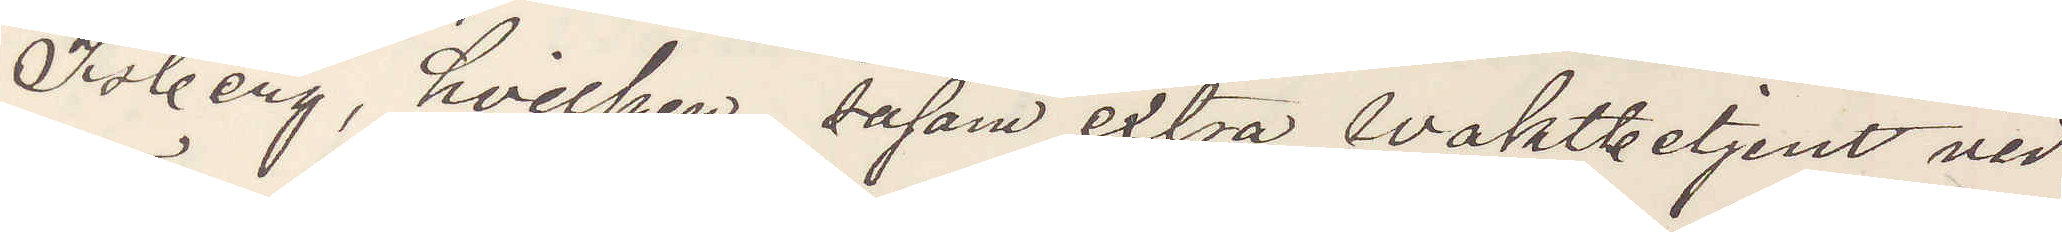Isberg, hvilken såsom extra Waktbetjent vid
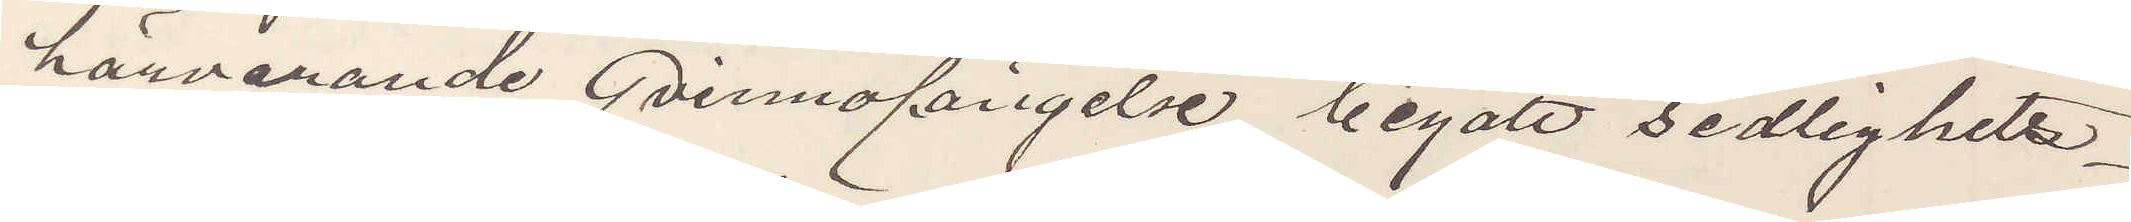härvarande Qvinnofängelse begått sedlighets¬
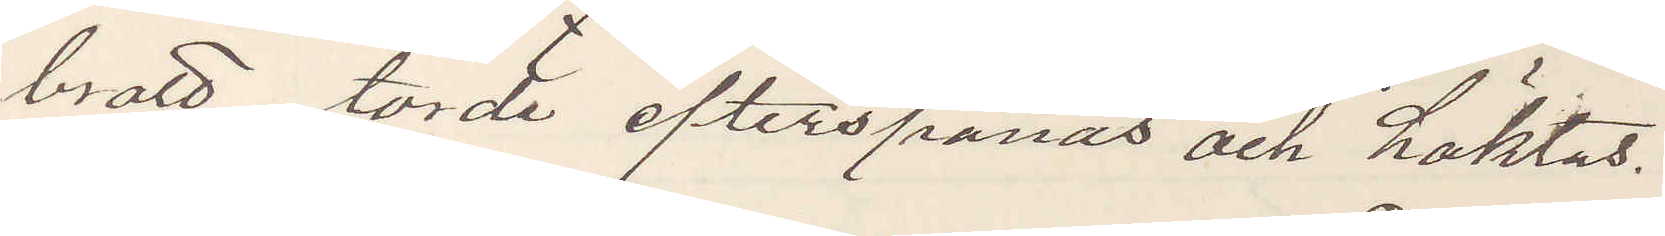brott, torde efterspanas och häktas.
